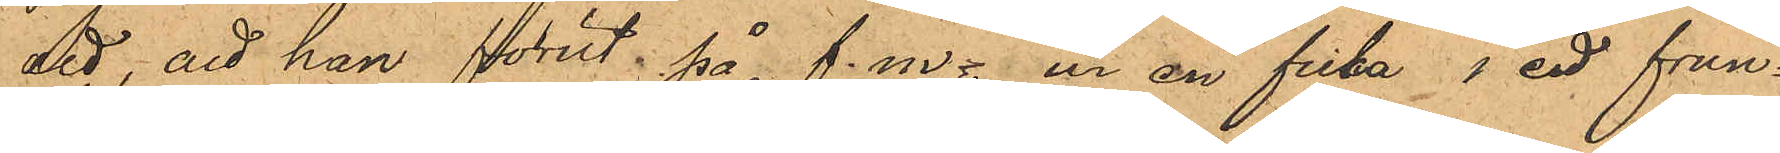att, att han förut på f.m. ur en ficka i ett frun¬
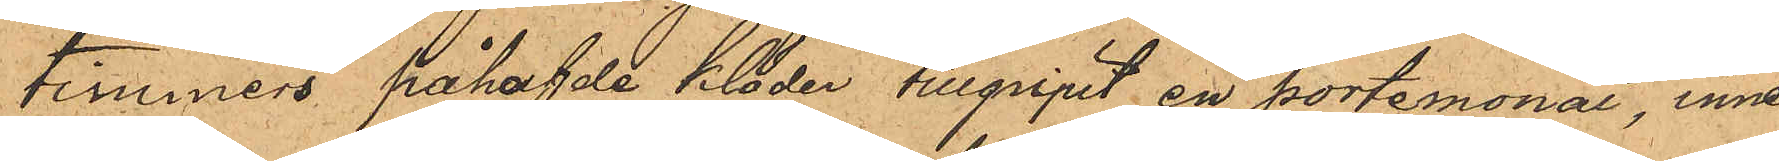timmers påhafvde kläder tillgripit en portemonai, inne¬
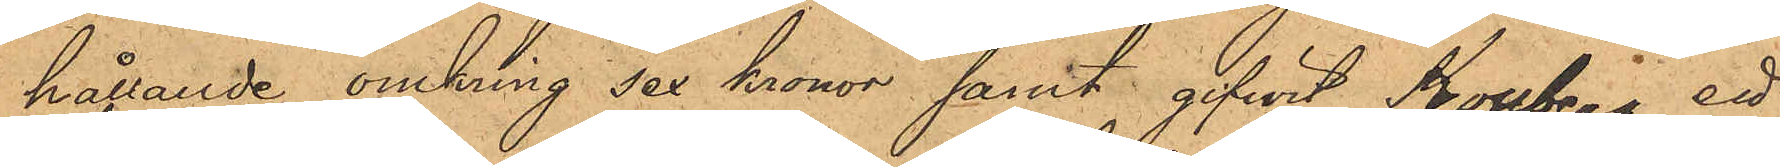hållande omkring sex kronor samt gifwit Kollberg ett
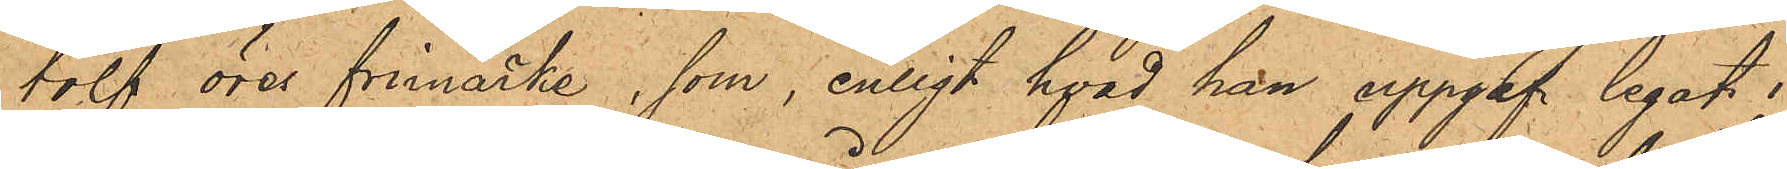tolf öres frimärke, som, enligt hvad han uppgaf legat i
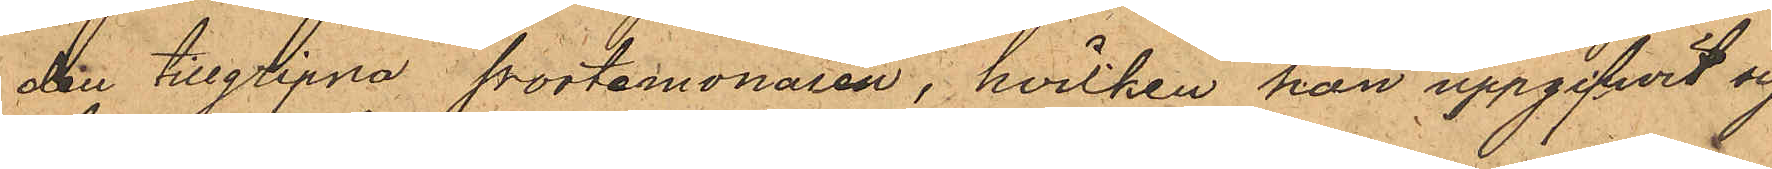den tillgripna portemonaien, hvilken han uppgifwit sig
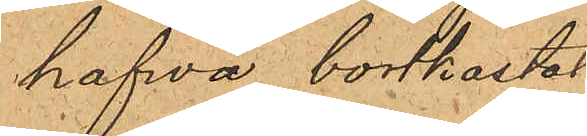hafva bortkastat.
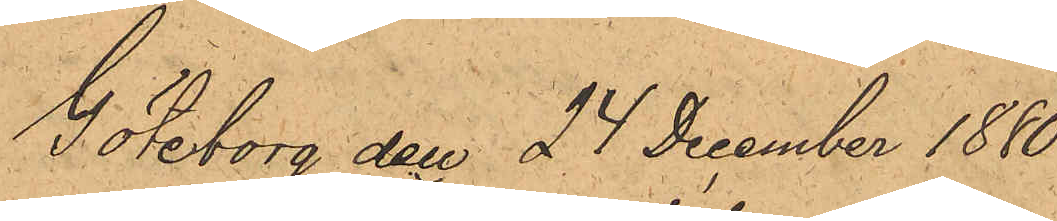Göteborg den 24 december 1880.
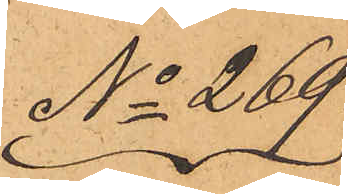No 269.
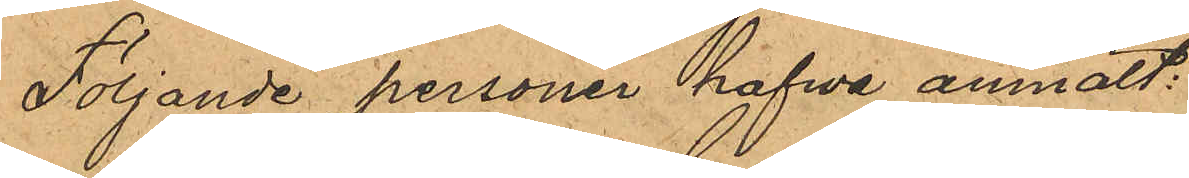Följande personer hafva anmält:
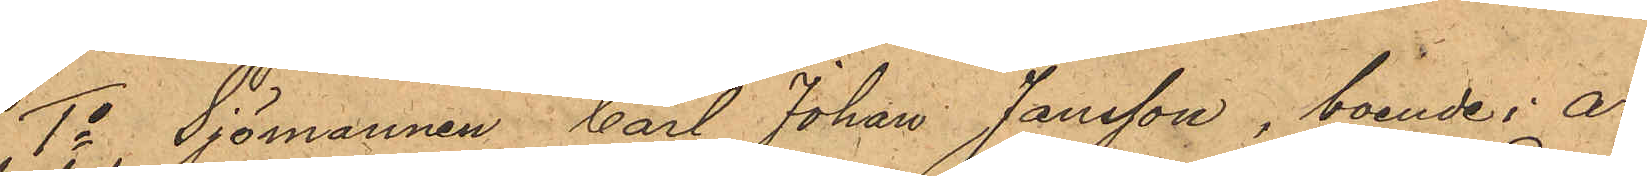1o Sjömannen Carl Johan Jansson, boende i Ar¬
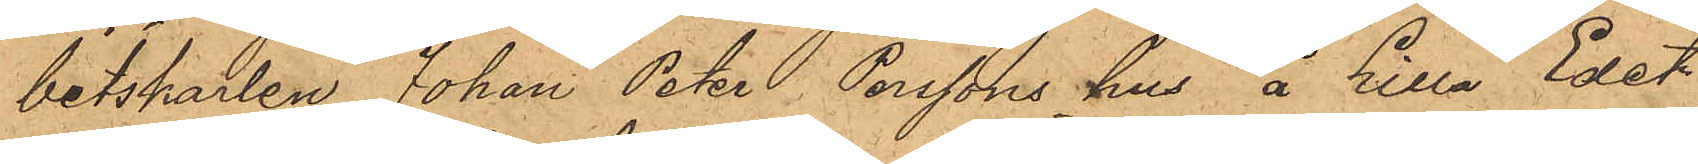betskarlen Johan Peter Perssons hus å Lilla Edet
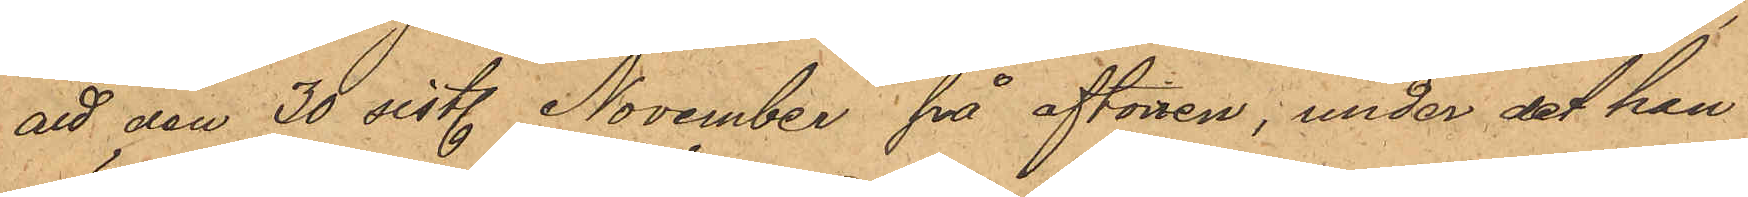att den 30 sist. November på aftonen; under det han i
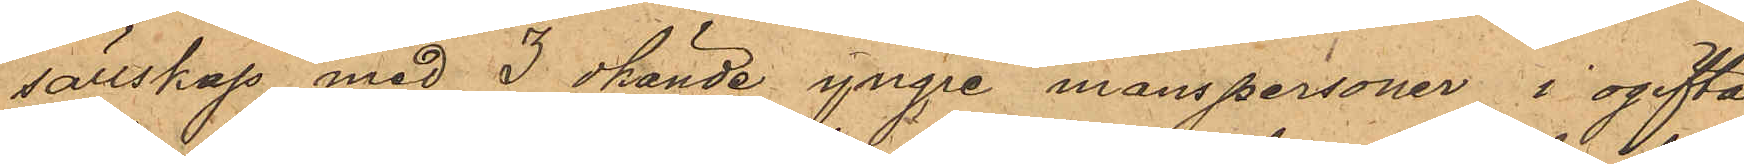sällskap med 3 okände yngre manspersoner i ogifta
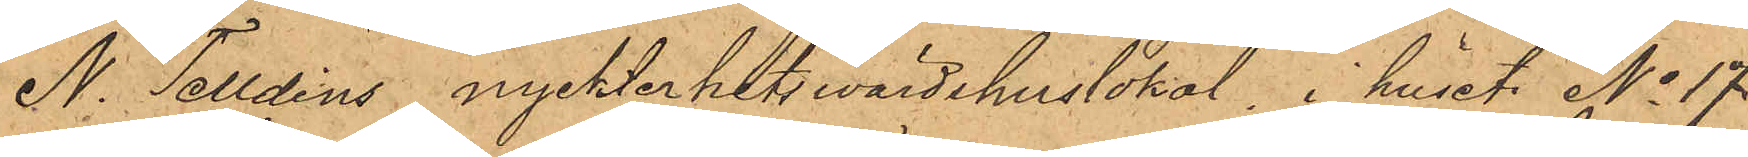N. Telldins nyckterhetswärdshuslokal, i huset No 17
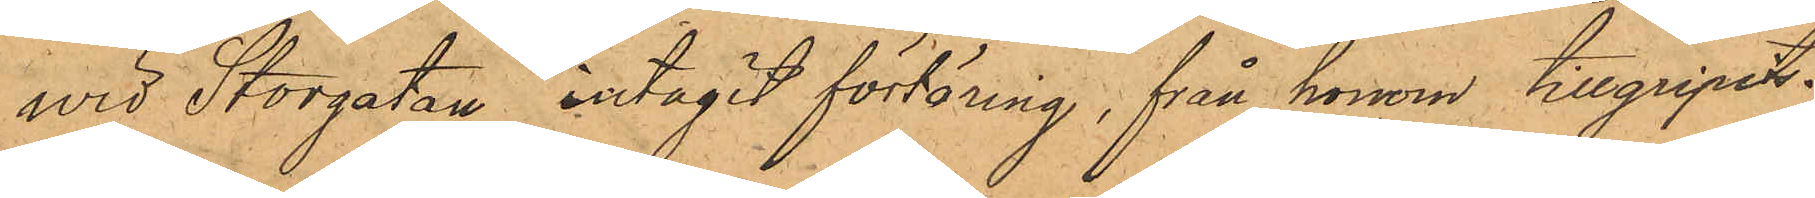wid Storgatan intagit förtäring, från honom tillgripits
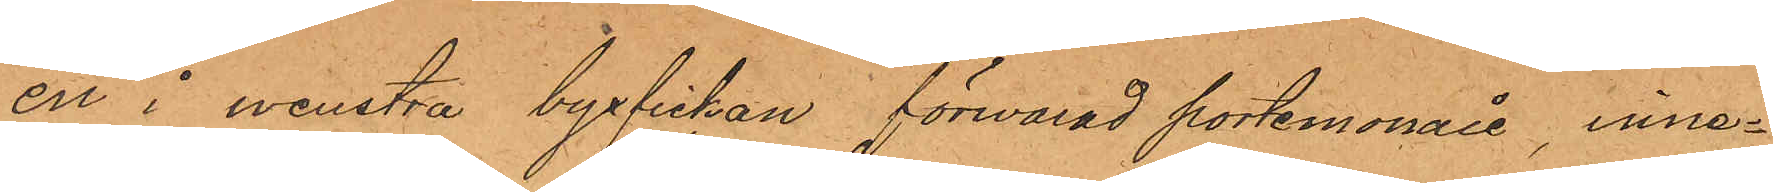en i wenstra byxfickan förvarad portemonaie, inne¬
